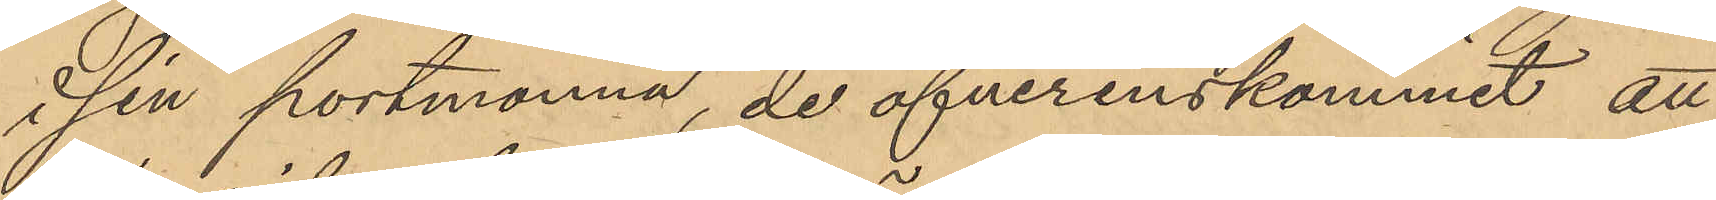i sin portmonnä, de öfverenskommit, att
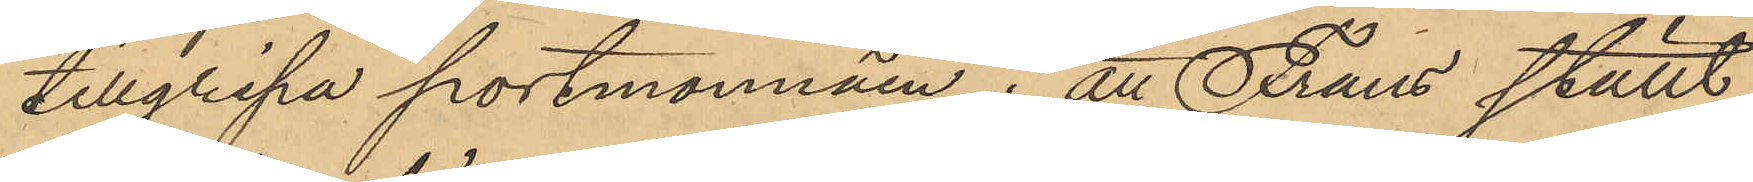tillgripa portmonnäen; att Frans ställt
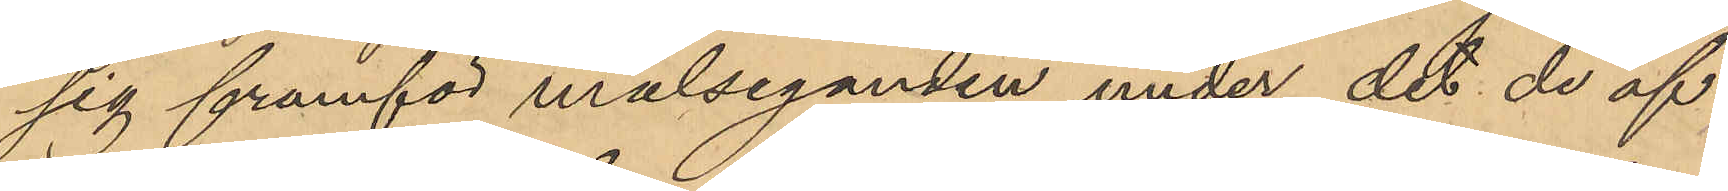sig framför målseganden under det de öf¬
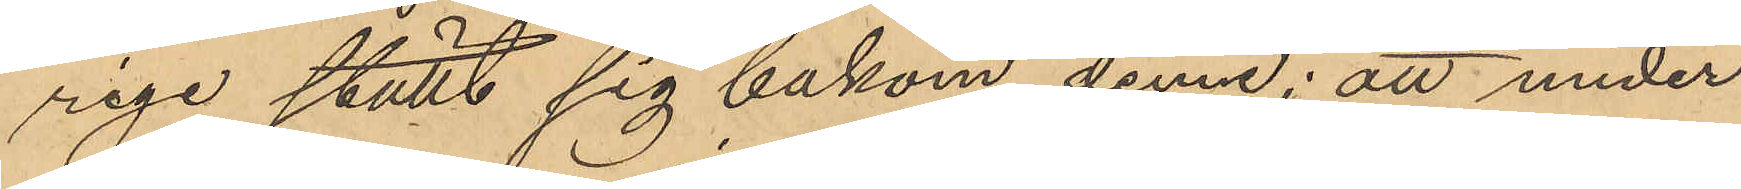rige ställt sig bakom denne; att under
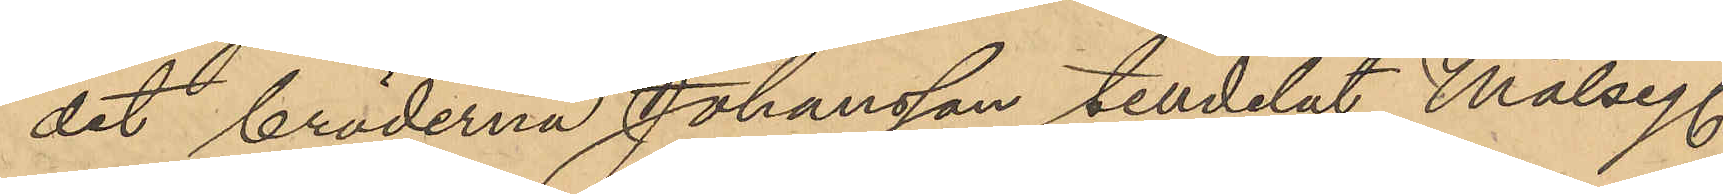det bröderna Johansson tilldelat Målseg.
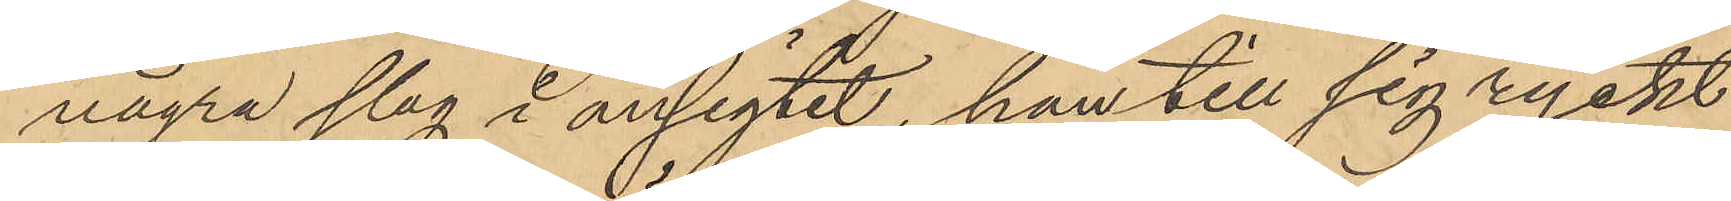några slag i ansigtet, han till sig ryckt
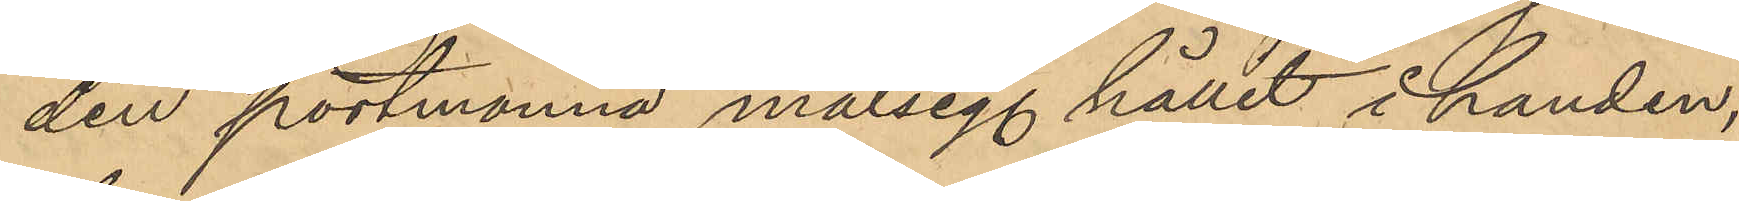den portmonnä målseg. hållit i handen,
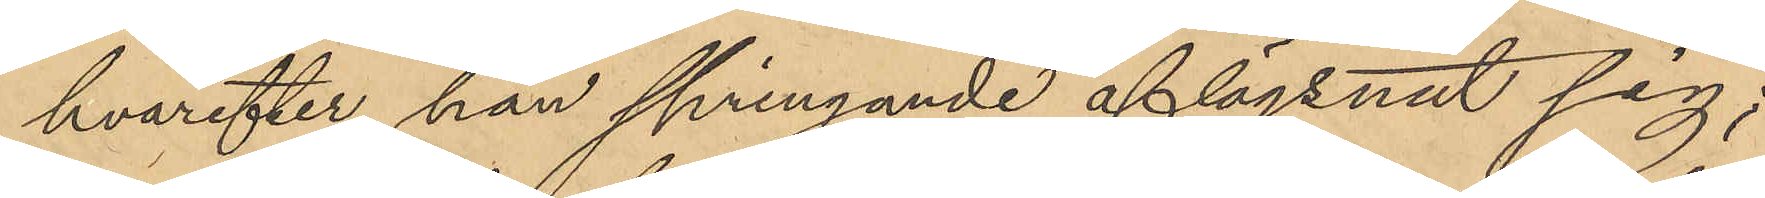hvarefter han springande aflägsnat sig;
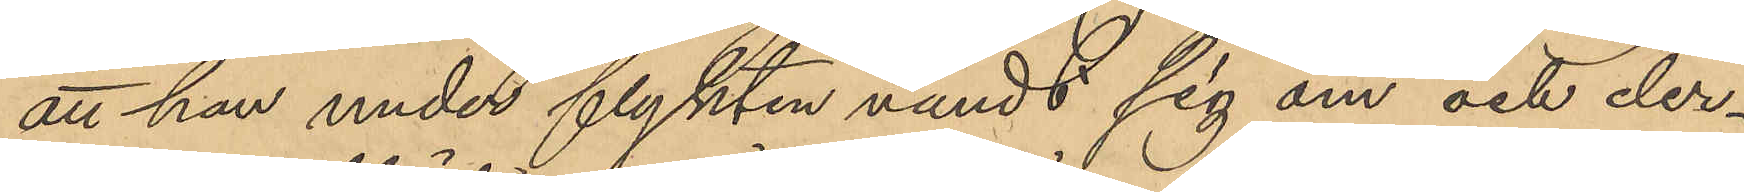att han under flykten vändt sig om och der¬
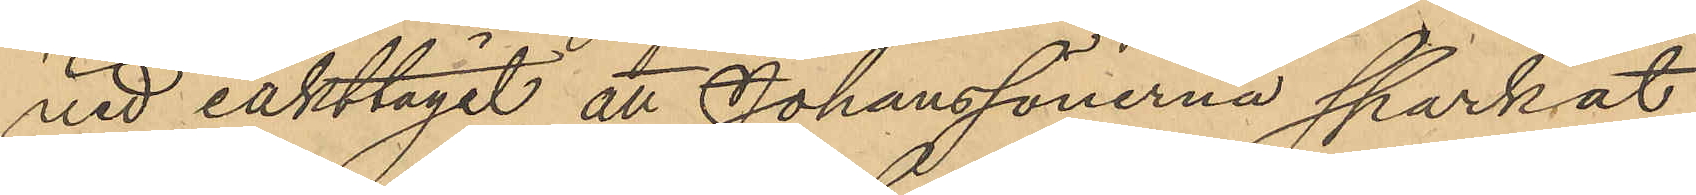vid iakttagit att Johanssönerna sparkat
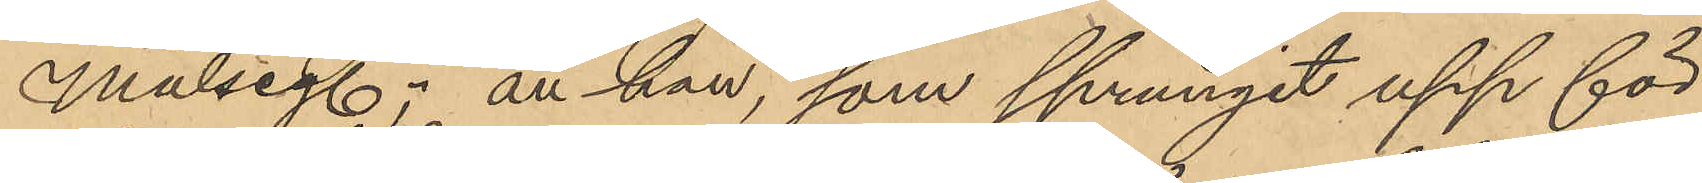Målseg., att han, som sprungit upp för
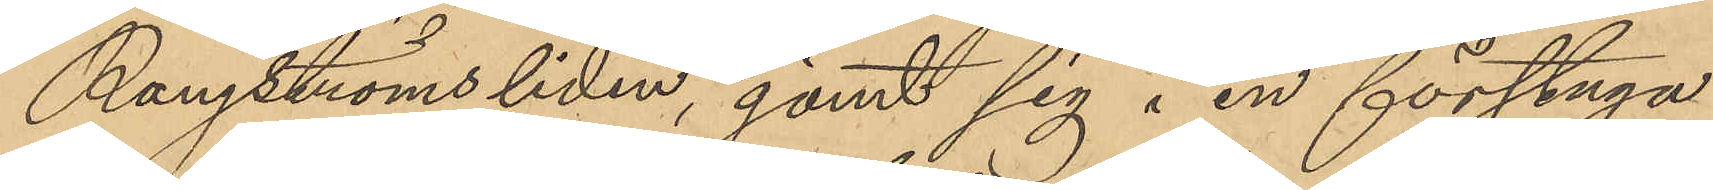Rangströmsliden, gömt sig i en förstuga
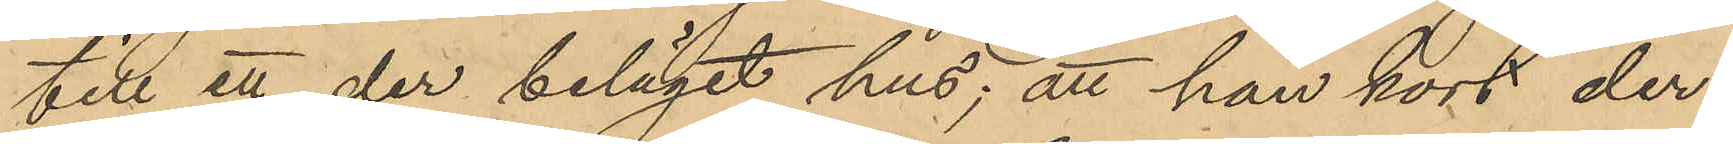till ett der beläget hus; att han kort der¬
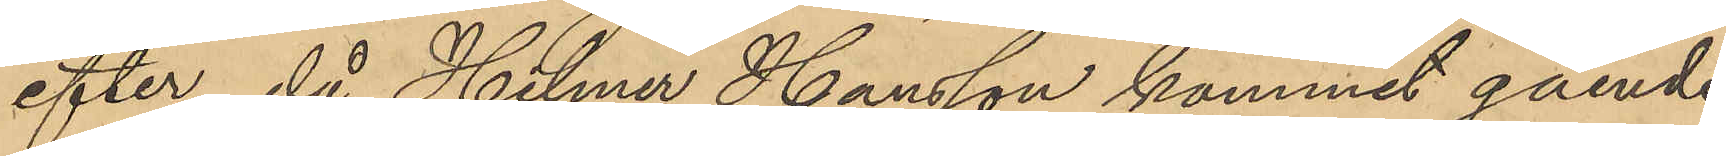efter, då Helmer Hansson kommit gående
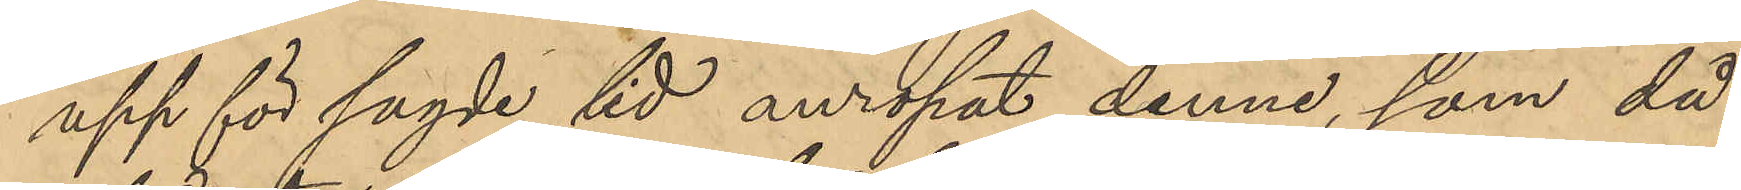upp för sagde tid anropat denne, som då
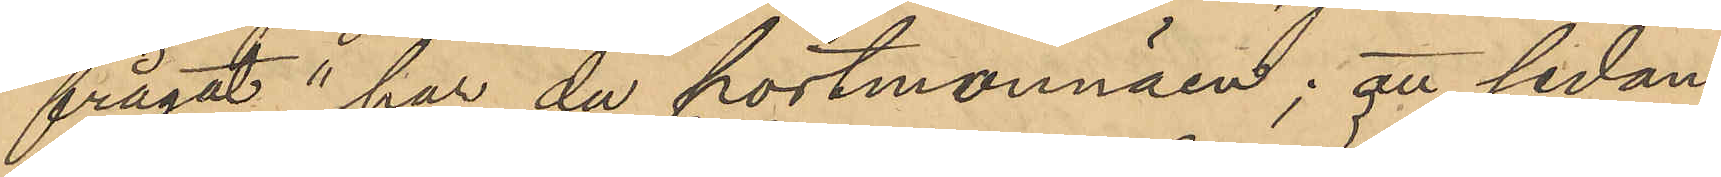frågat "har du portmonnäen; att sedan
